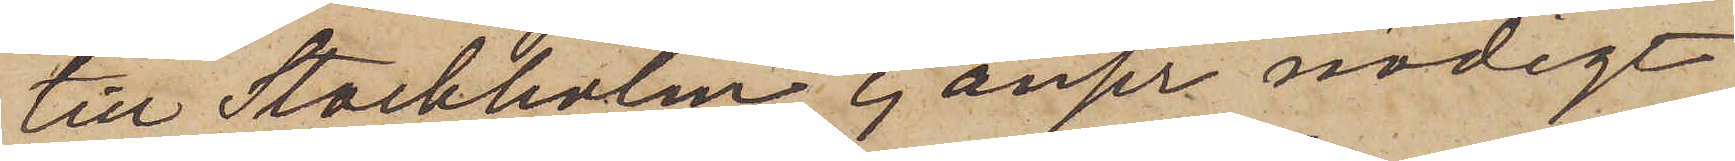till Stockholm, ej anser nödigt
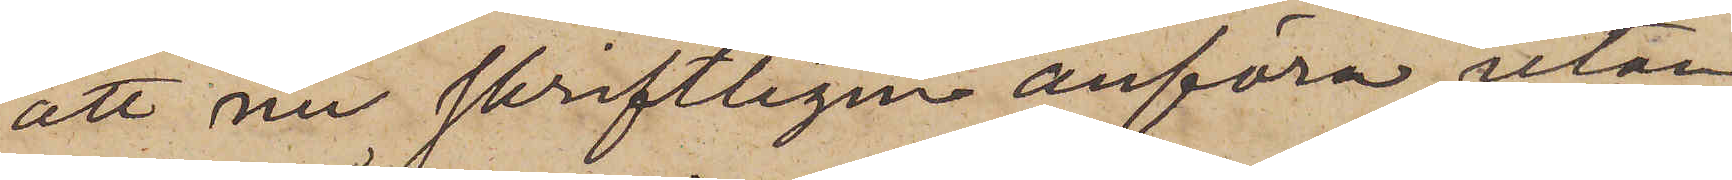att nu skriftligen anföra, utan
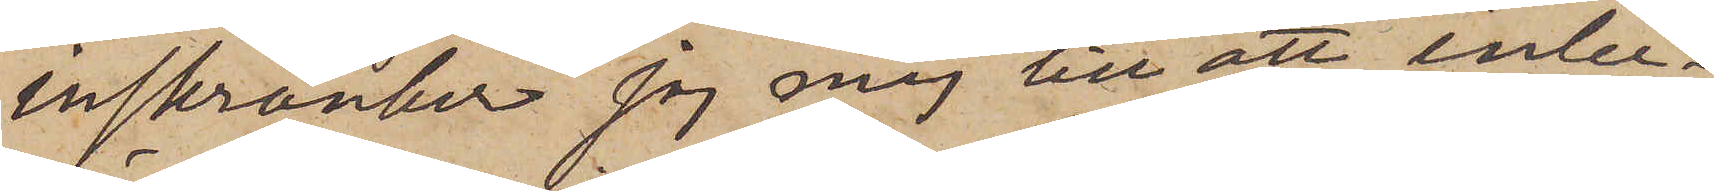inskränker jag mig till att inbe¬
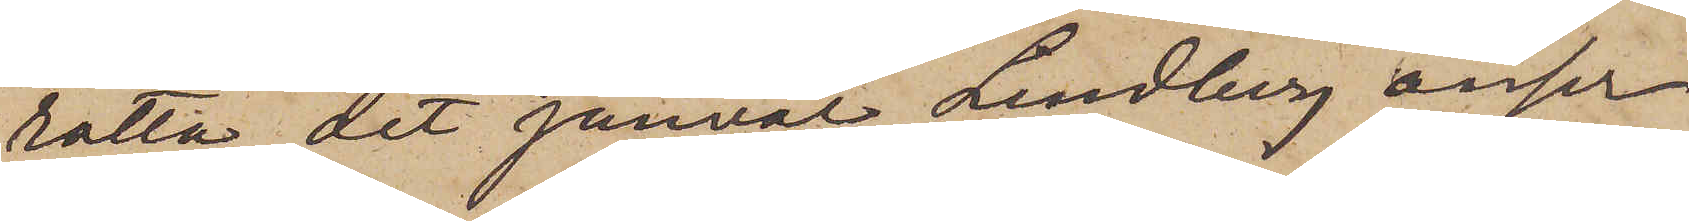rätta, det jemväl Lindberg anser
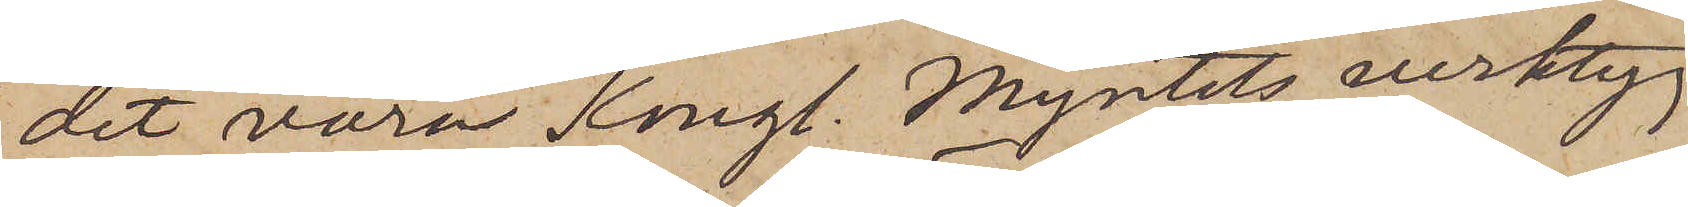det vara Kongl. Myntets verktyg
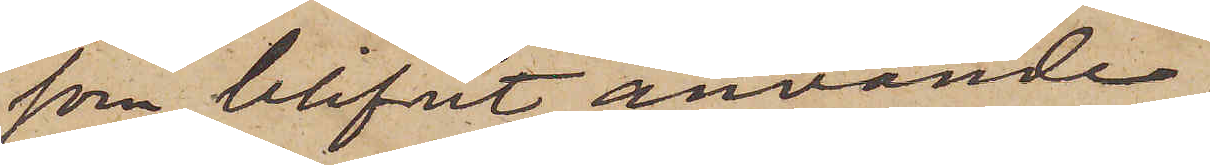som blifvit använda.
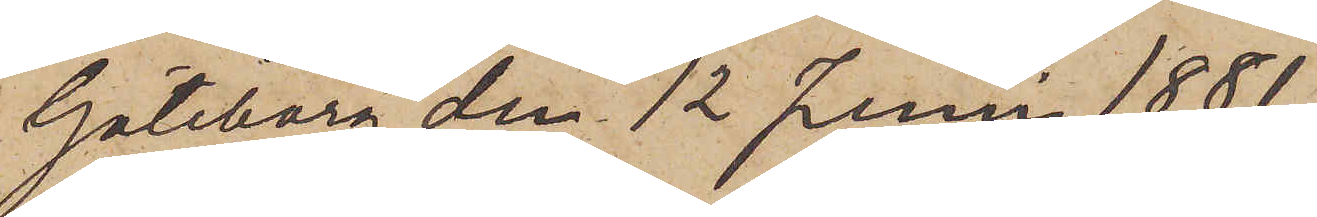Göteborg den 12 Juni 1881.
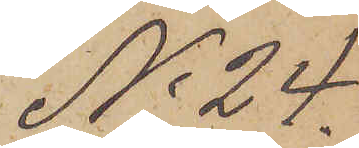No 24.
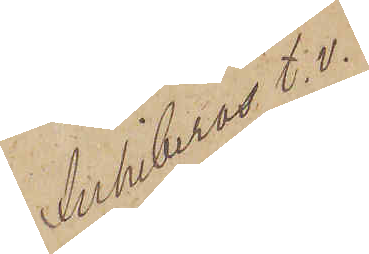Annuleras t. v.
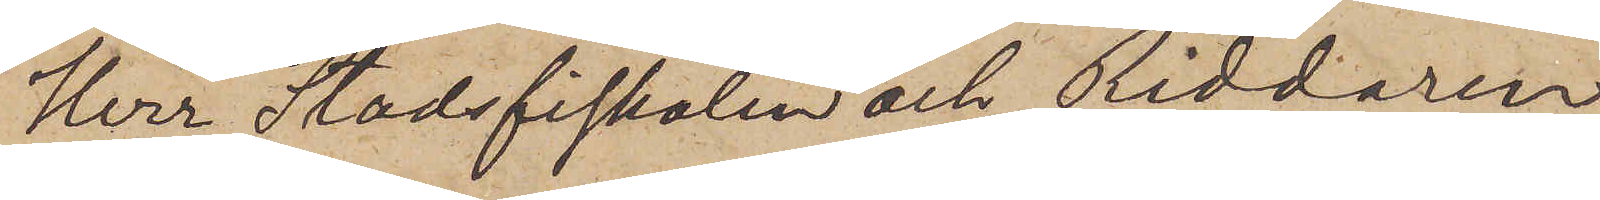Herr Stadsfiskalen och Riddaren
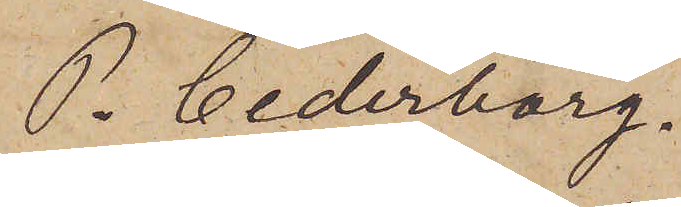P. Cederborg.
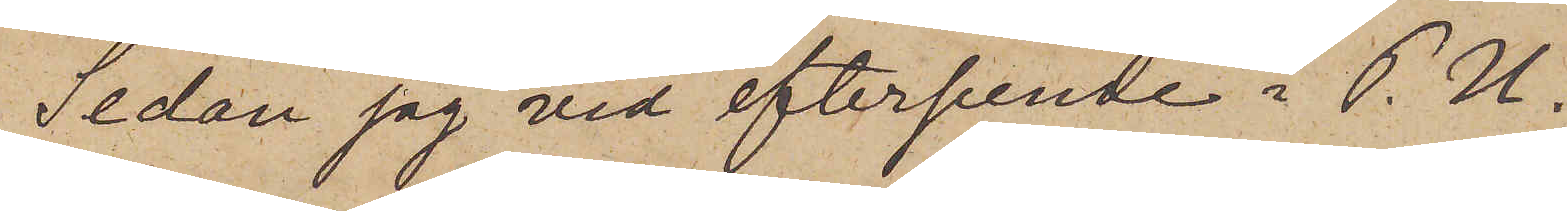Sedan jag vid efterseende i P. U.
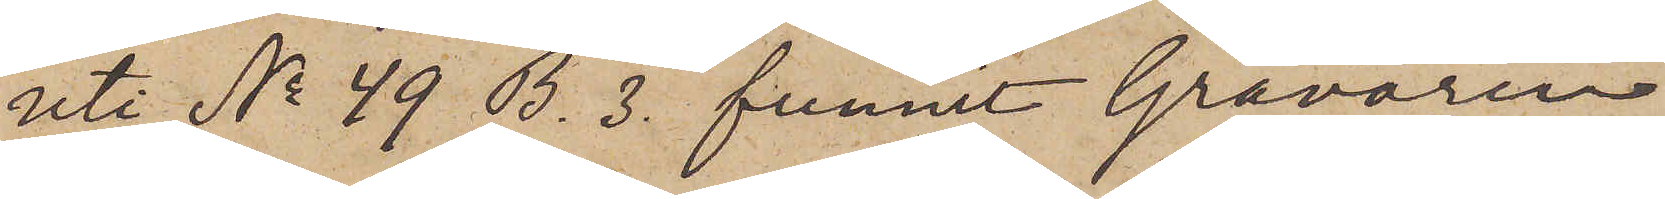uti No 49 B. 3. funnit Gravören
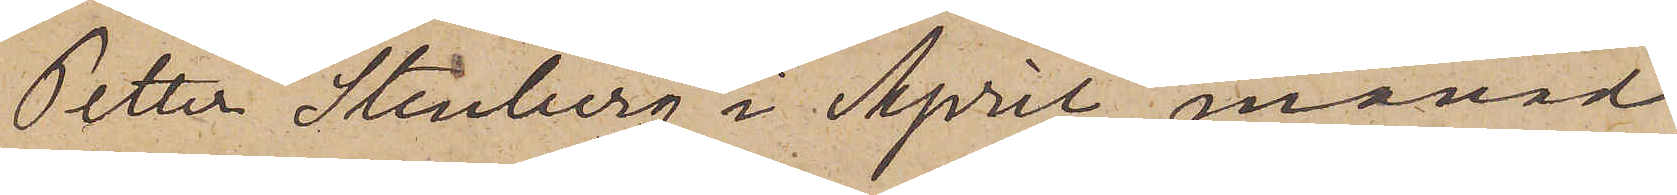Petter Stenberg i April månad
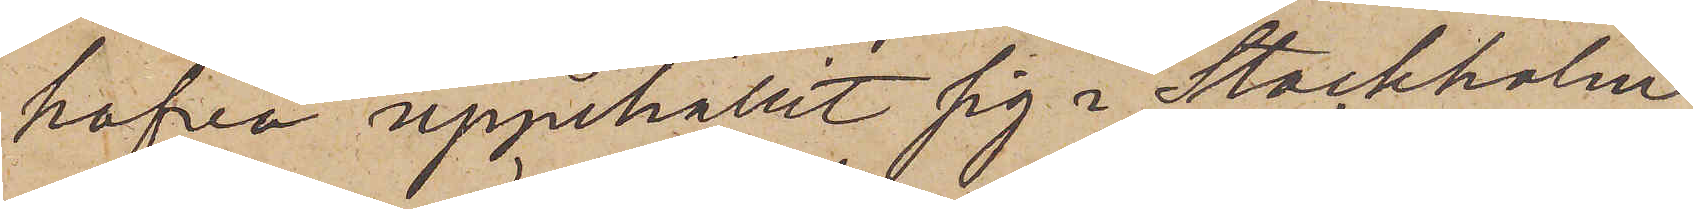hafva uppehållit sig i Stockholm
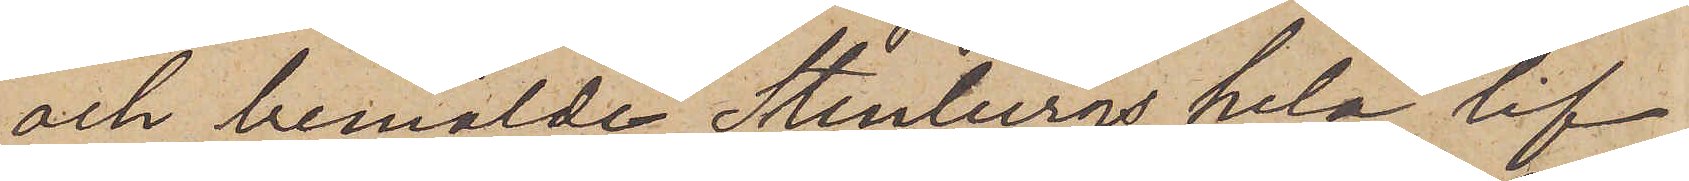och bemälde Stenbergs hela lif
